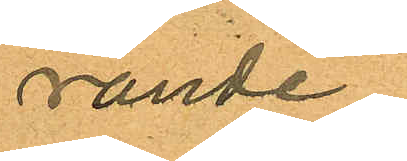rande
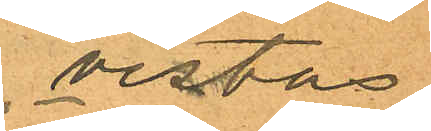vistas
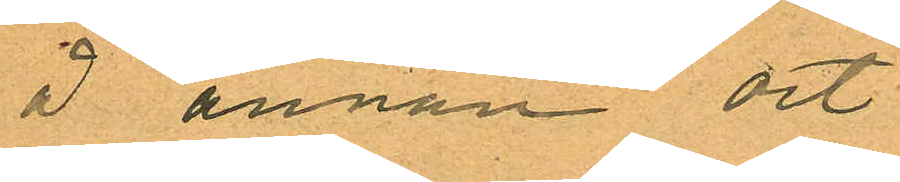å annan ort
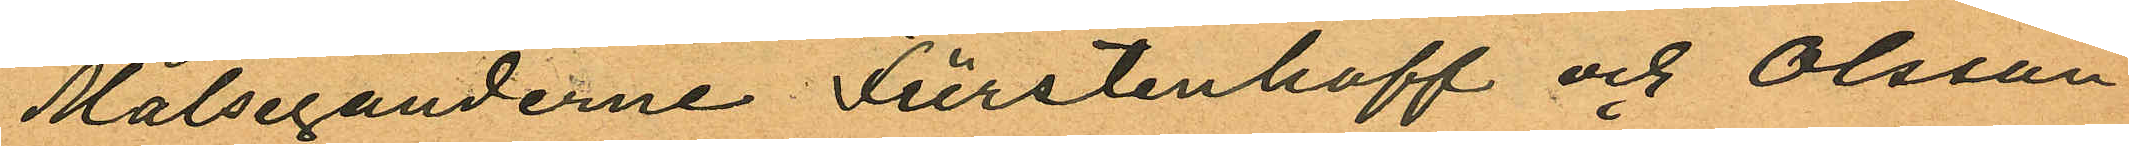Målseganderne Fürstenhoff och Olsson
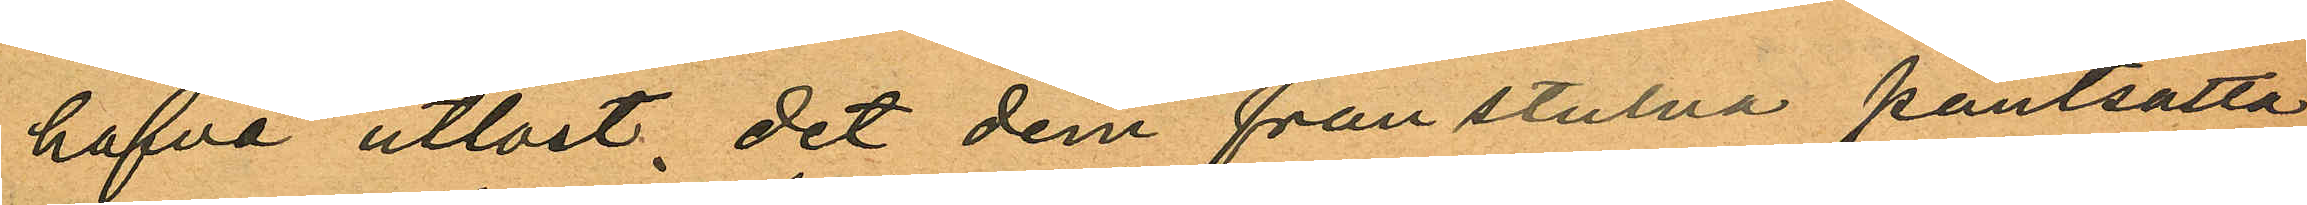hafva utlöst, det dem frånstulna pantsatta
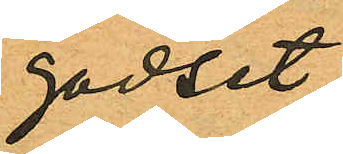godset
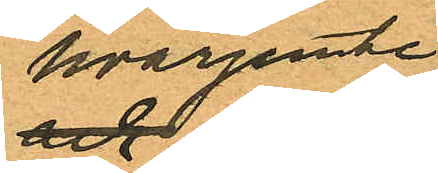hvarjemte
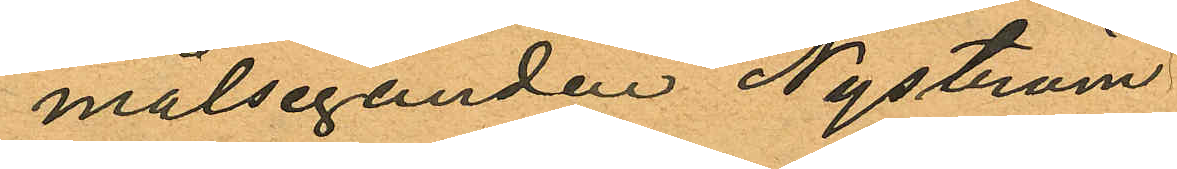målseganden Nyström
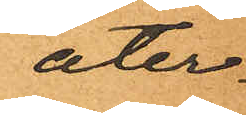åter¬
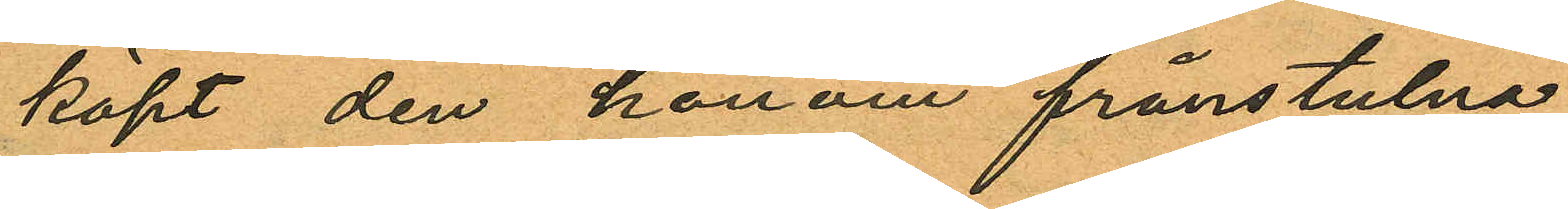köpt den honom frånstulna
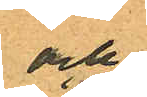och
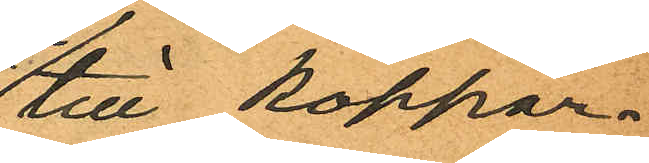till koppar¬
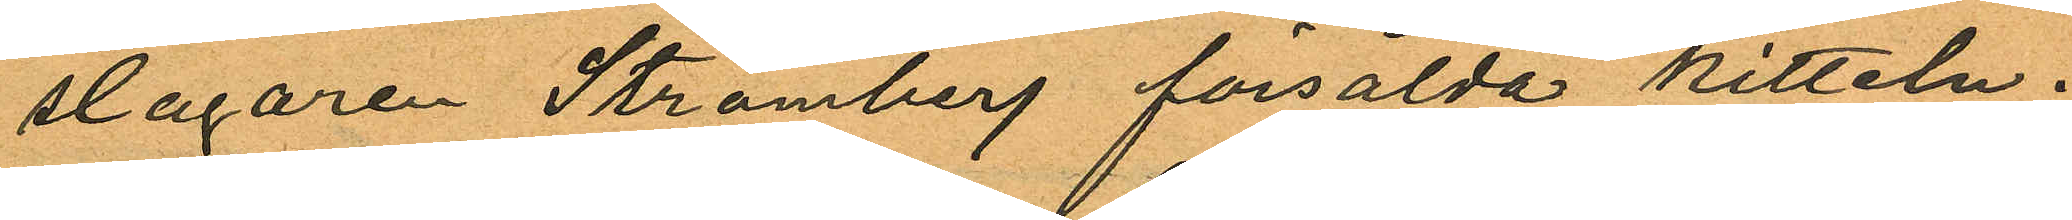slagaren Strömberg försålda kitteln.
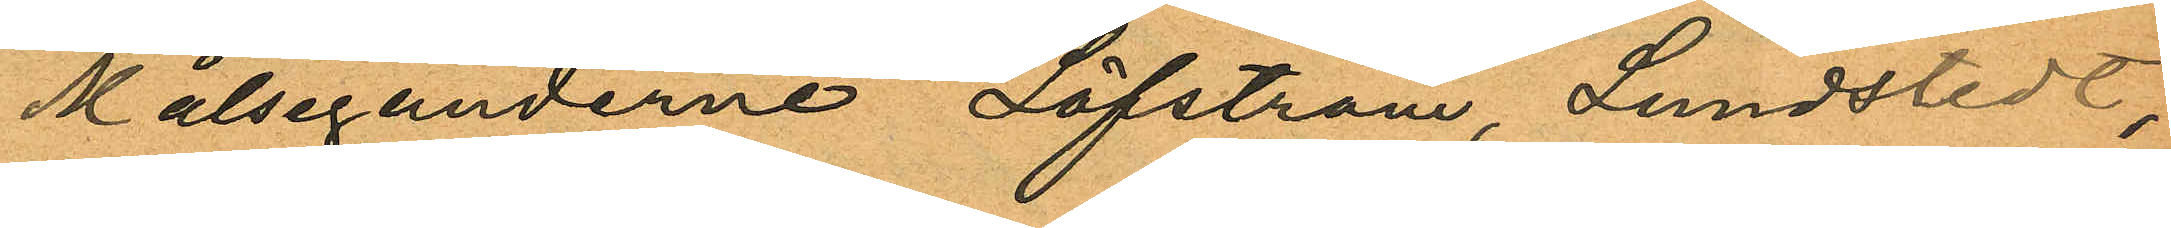Målseganderne Löfström, Lundstedt,
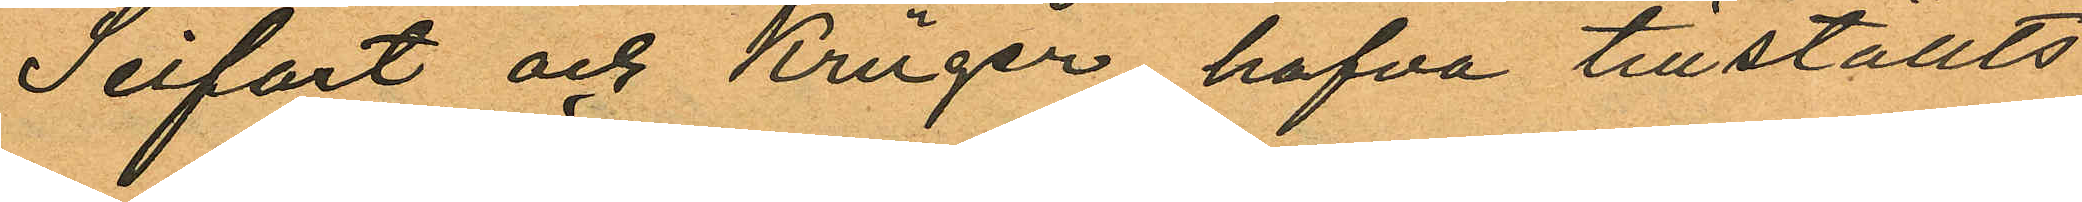Seifart och Krüger hafva tillställts
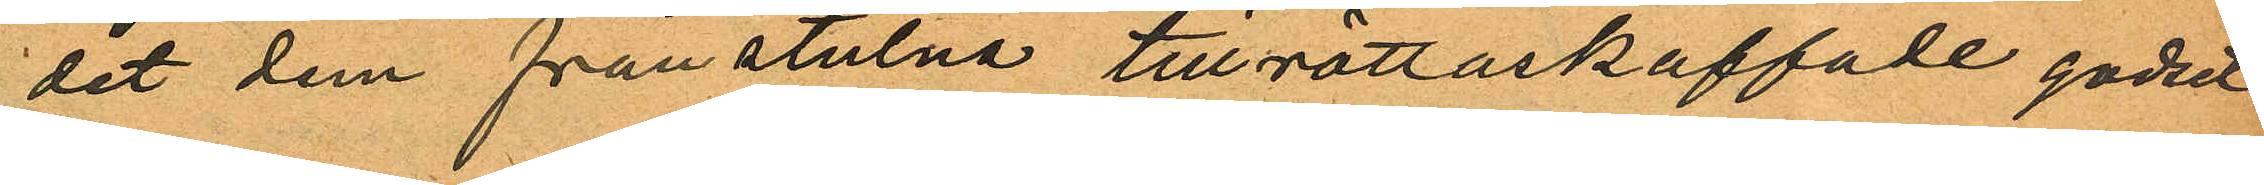det dem frånstulna tillrättaskaffade godset
